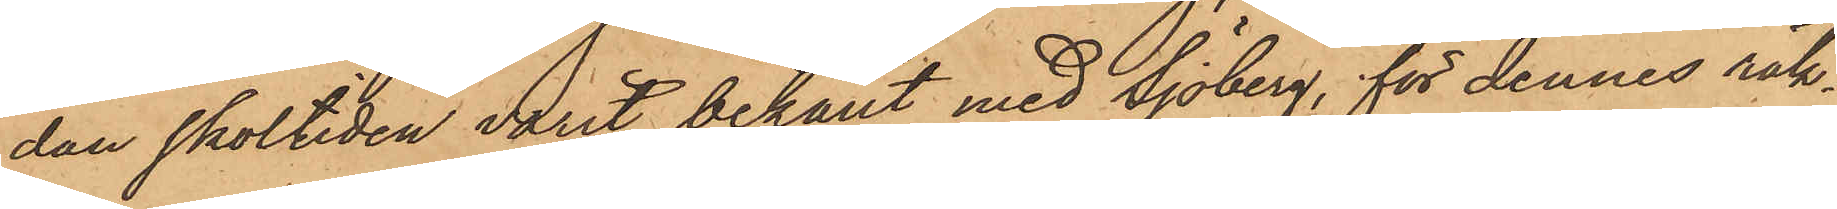dan skoltiden varit bekant med Sjöberg, för dennes räk¬
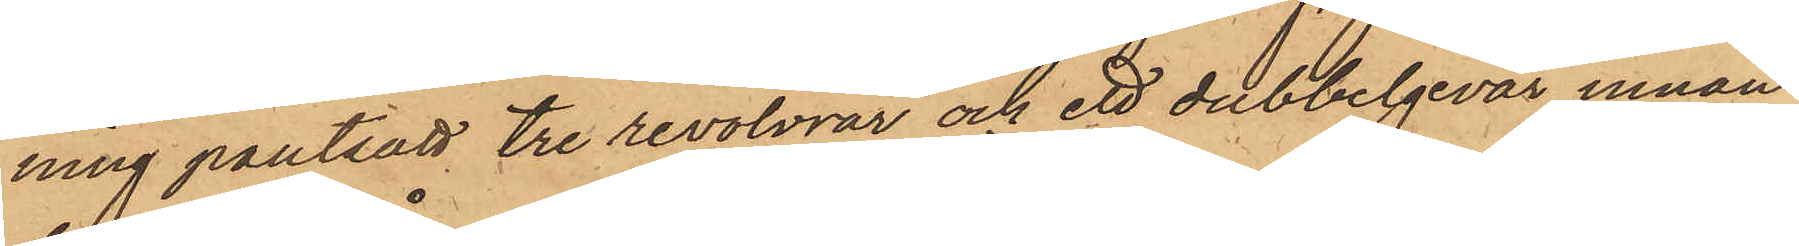ning pantsatt tre revolvrar och ett dubbelgevär innan
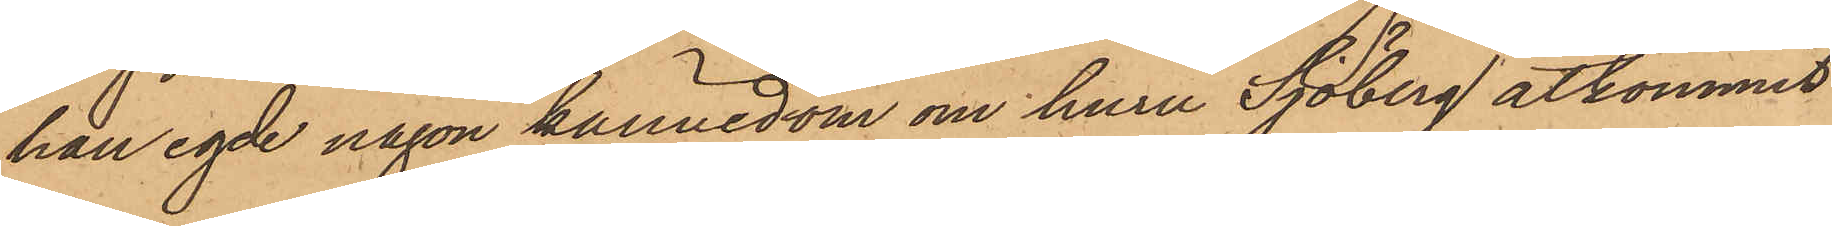han egde någon kännedom om huru Sjöberg åtkommit
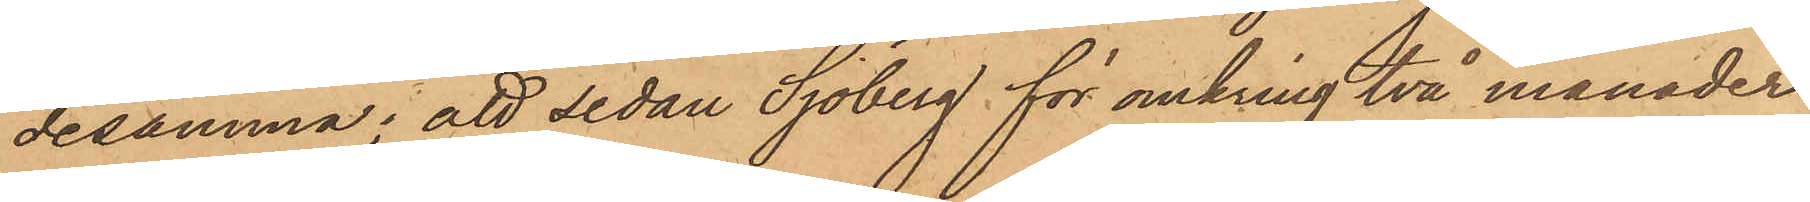desamma; att sedan Sjöberg för omkring två månader
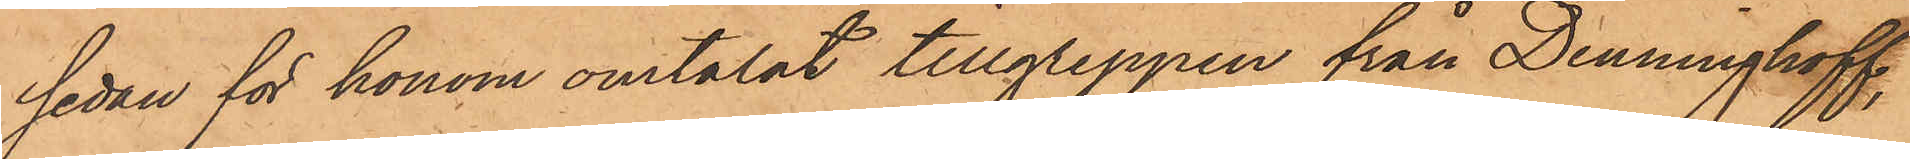sedan för honom omtalat tillgreppen från Denningkoff;
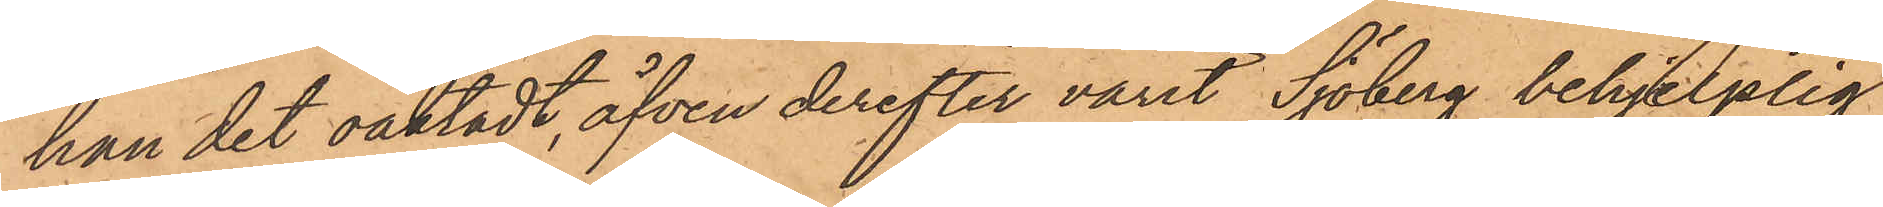han det oaktadt, äfven derefter varit Sjöberg behjelplig
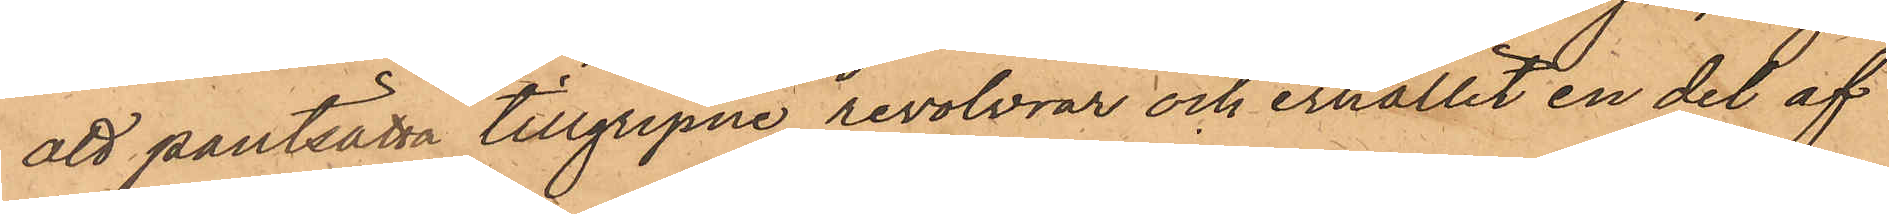att pantsätta tillgripne revolvrar och erhållit en del af
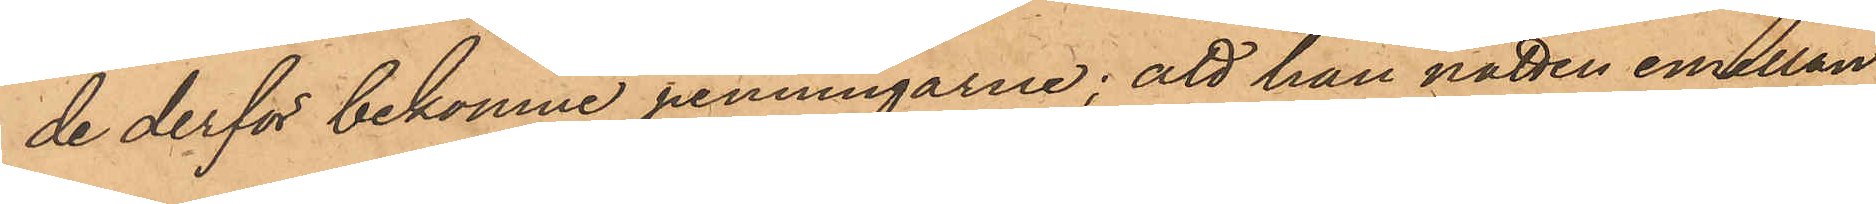de derför bekomne penningarne; att han natten emellan
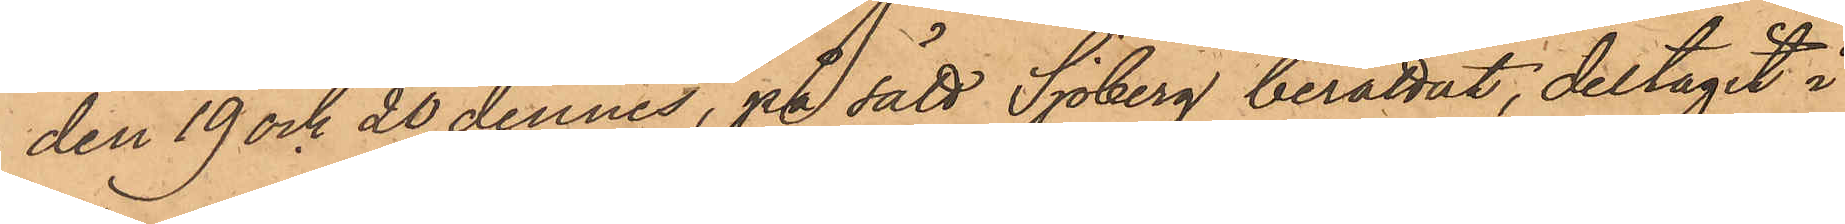den 19 och 20 dennes, på sätt Sjöberg berättat, deltagit i
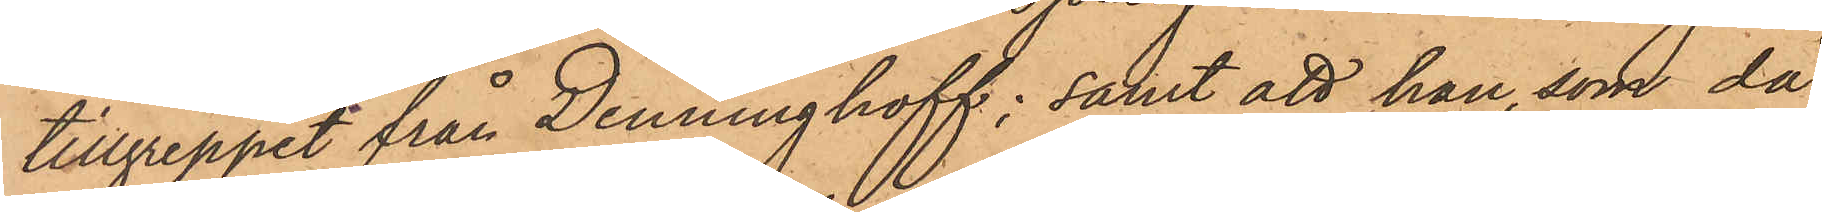tillgreppet från Denninghoff; samt att han, som då
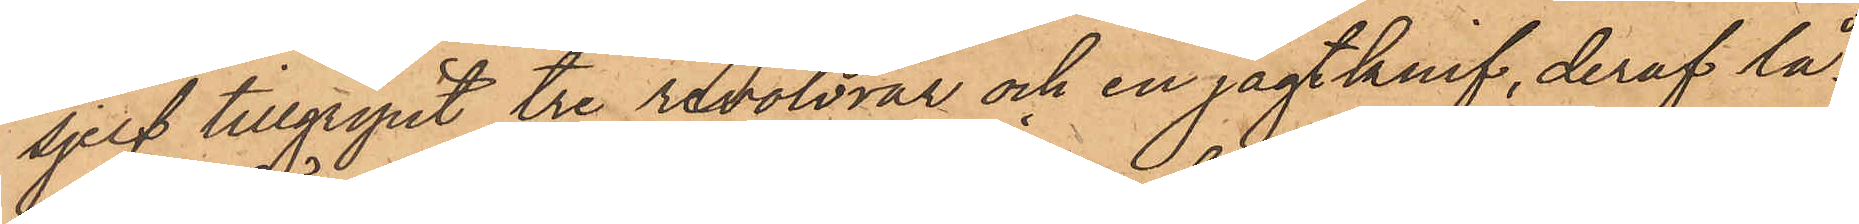sjelf tillgripit tre revolvrar och en jagtknif, deraf lå¬
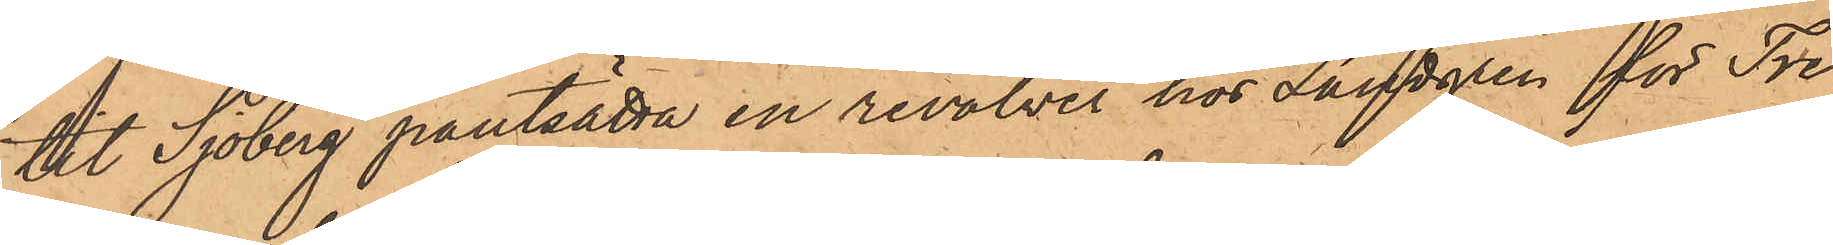tit Sjöberg pantsatta en revolver hos Lundgren för Tre
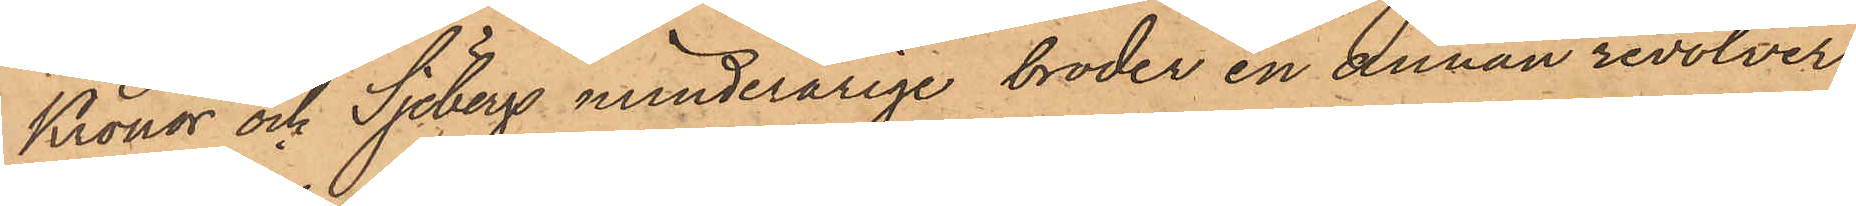Kronor och Sjöbergs minderårige broder en annan revolver
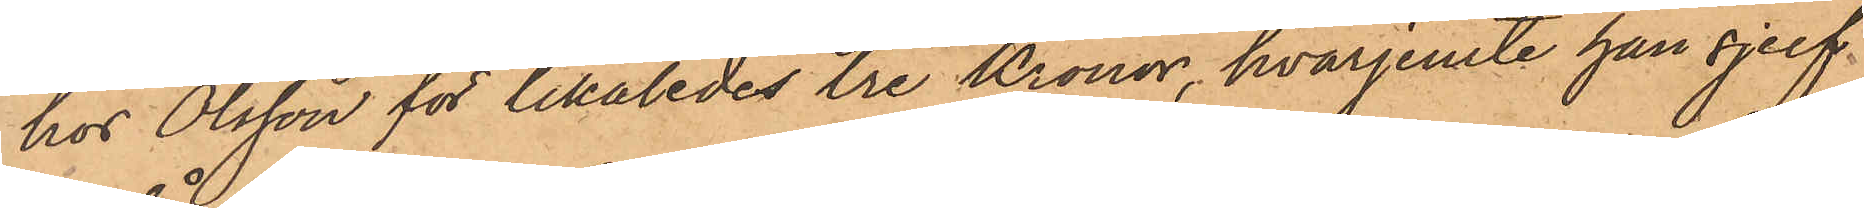hos Olsson för likaledes tre Kronor, hvarjemte han sjelf
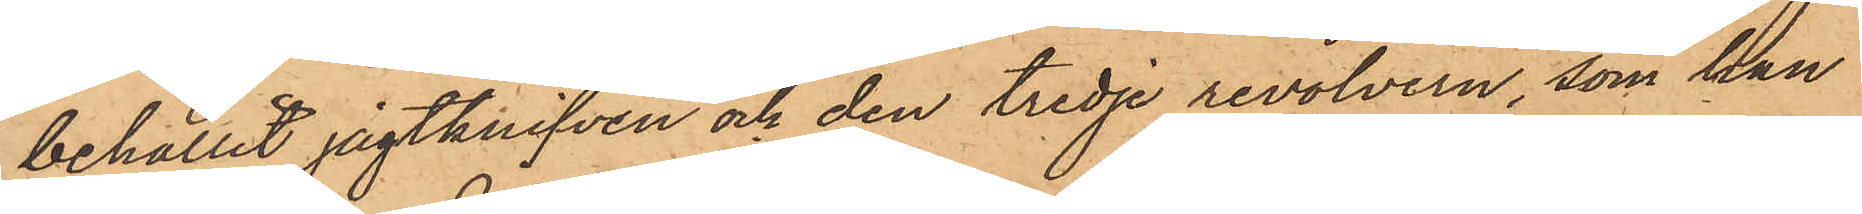behållit jagtknifven och den tredje revolvern, som han
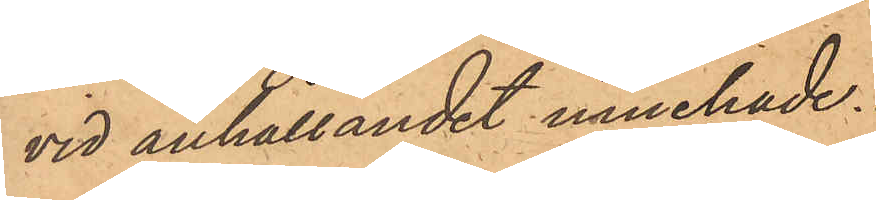vid anhållandet innehade.
